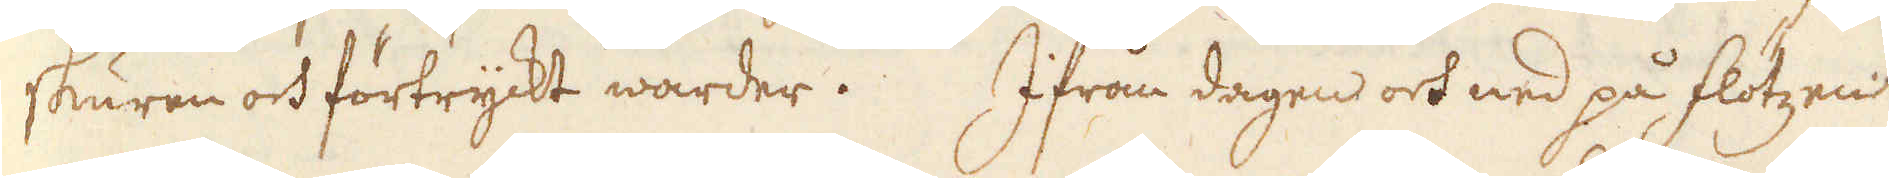skuren och förtryckt warder. Ifrån dagen och ned på flötzen
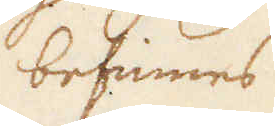befinnes
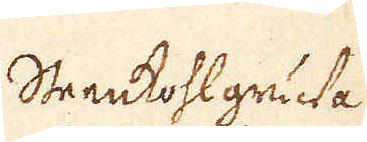Steenkohlgruwa
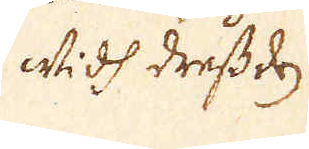widh Dressden
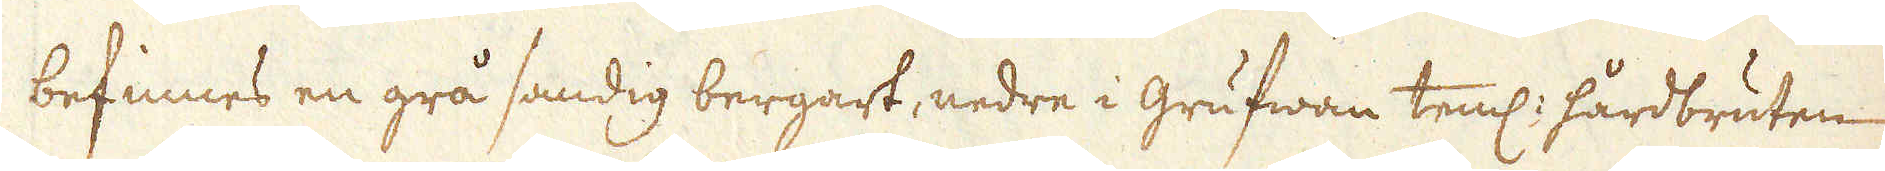befinnes en grå sandig bergart, nedre i grufwan teml: hårdbruten
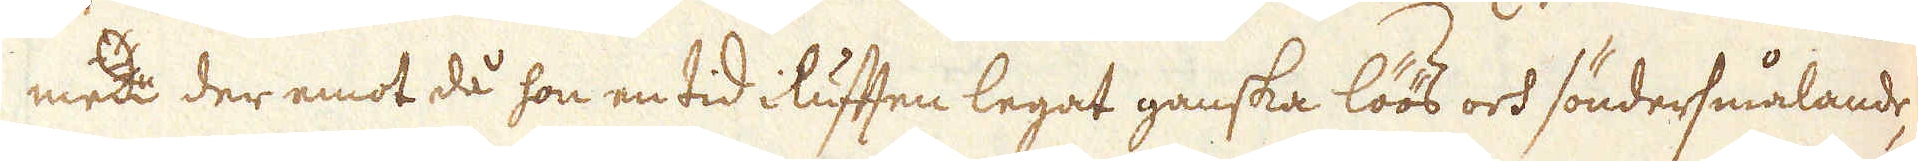men der emot då hon en tid i luften legat ganska löös och söndersmålande,
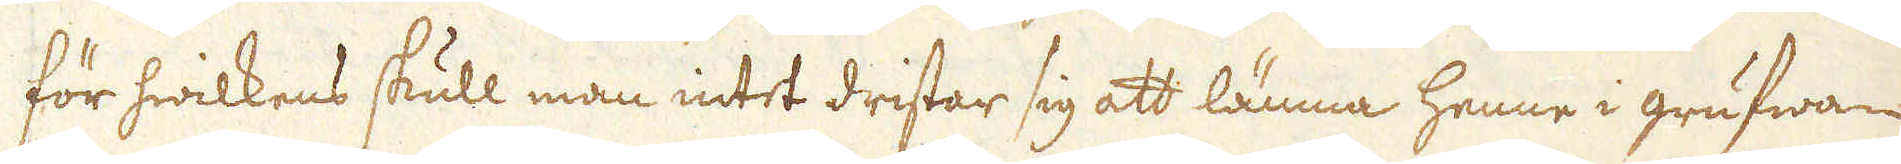för hwilkens skull man intet dristar sig att lämna henne i grufwan
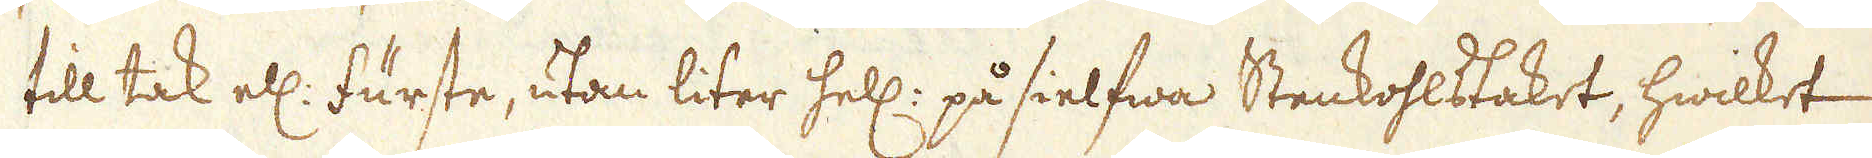till tak ell: fürste, utan liter hell: på sielfwa Stenkohlstaket, hwilket
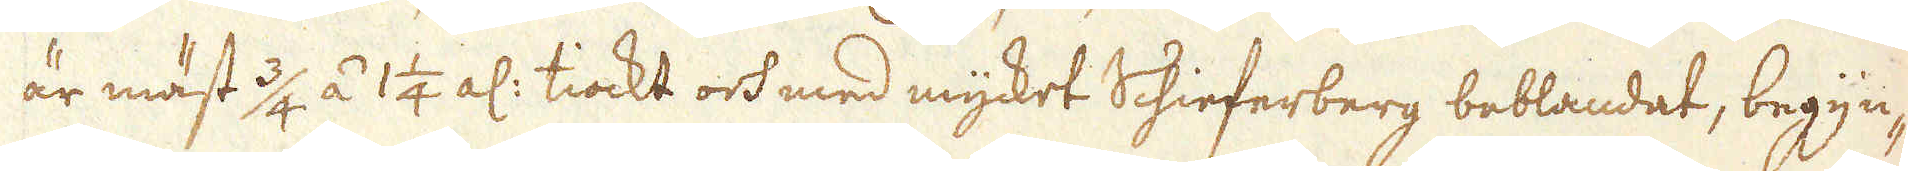är mäst 3/4 á 1 1/4 al: tiockt och med mycket Schieferberg beblandat, begyn-
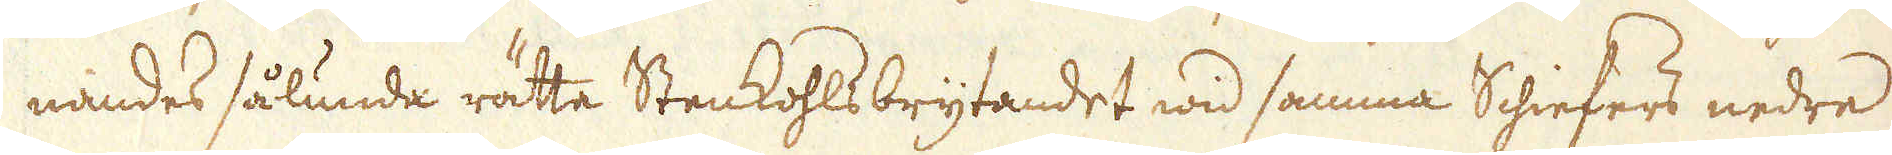nandes sålunda rätta Stenkohlsbrytandet wid samma Schiefers nedre
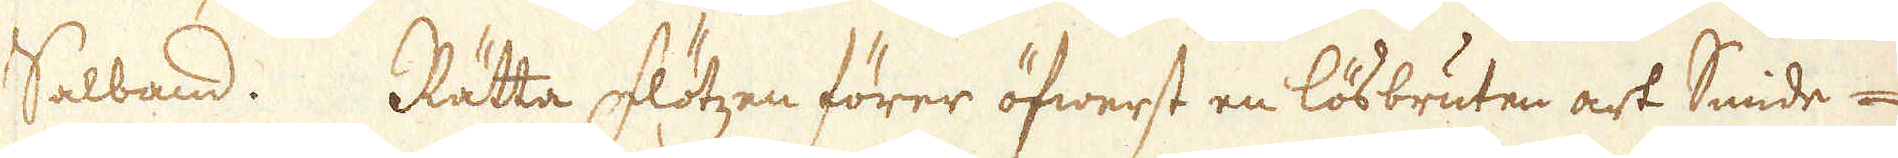Salband. Rätta Flötzen förer öfwerst en lösbruten art Smide-
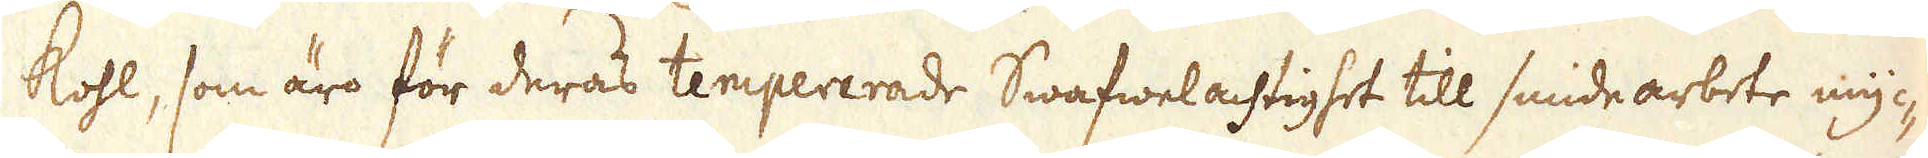kohl, som äro för deras tempererade Swafwelachtighet till smidearbete myc-
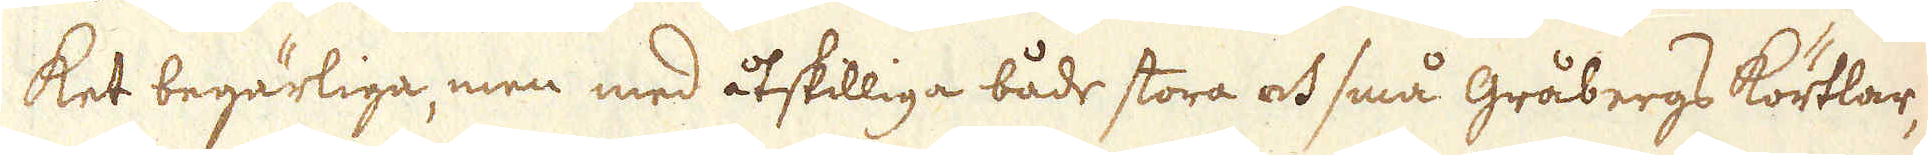ket begärliga, men med åtskilliga både stora och små gråbergs körtlar,
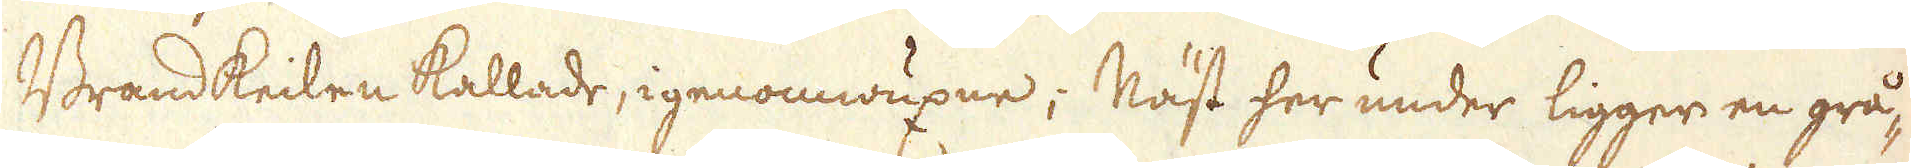Brandkeilen kallade, igenomwuxne; Näst her under ligger en grå-
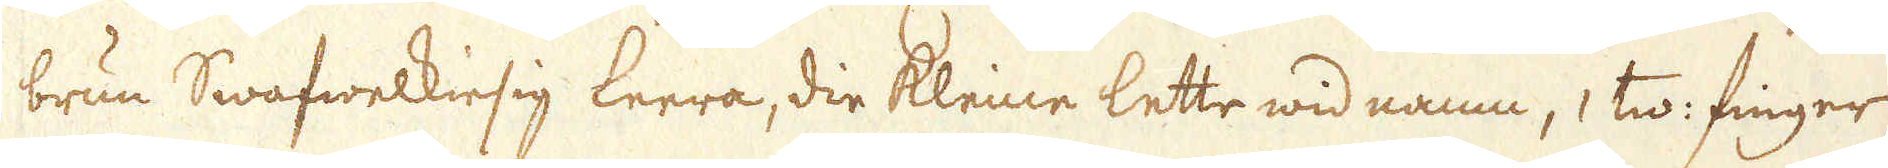brun Swafwelkiesig leera, die Kleine lette wid namn, 1 tw: finger
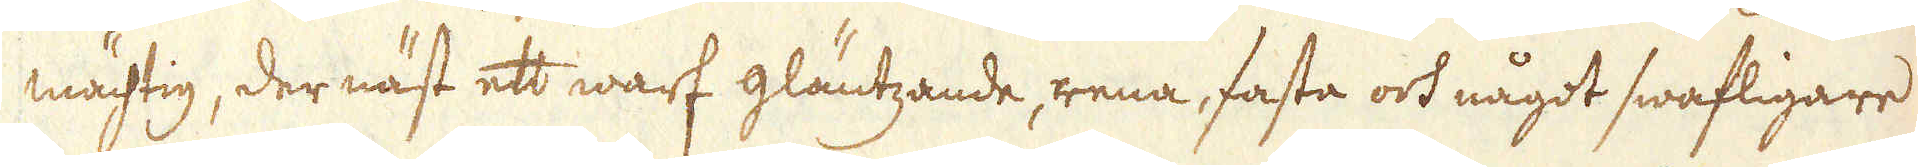mächtig, der näst ett warf gläntzande, rena, fasta och något swafligare
